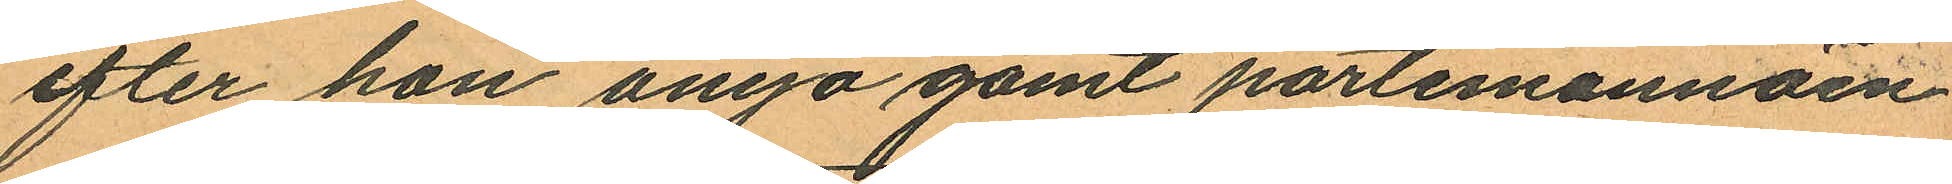efter hon ånyo gömt portemonnäen
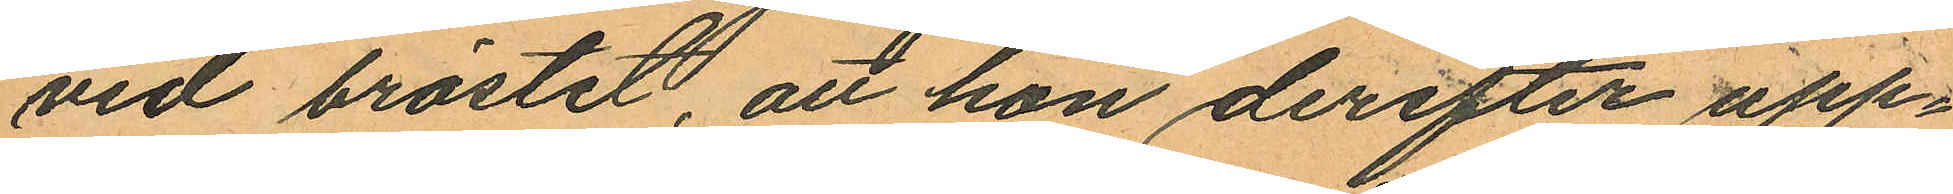vid bröstet, att hon derefter upp¬
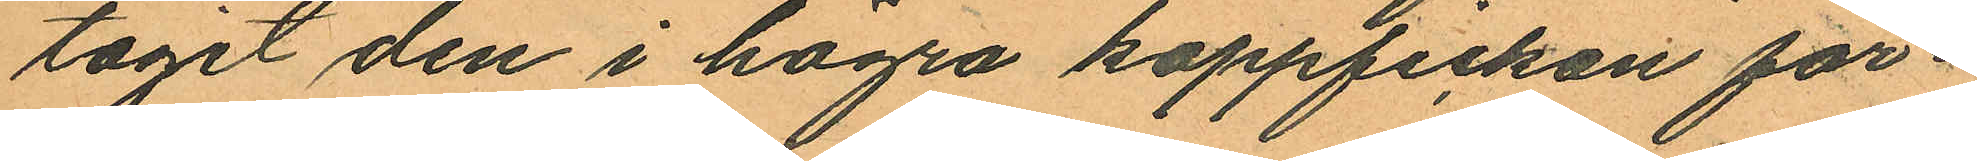tagit den i högra kappfickan för¬
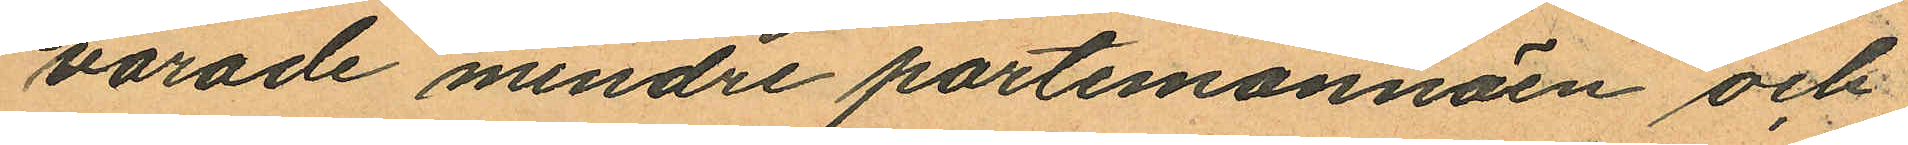varade mindre portemonnäen och
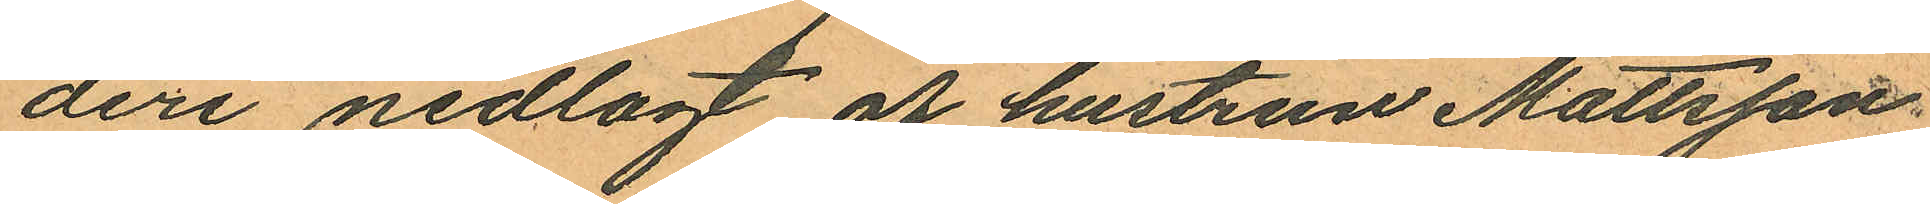deri nedlagt af hustrun Mattson
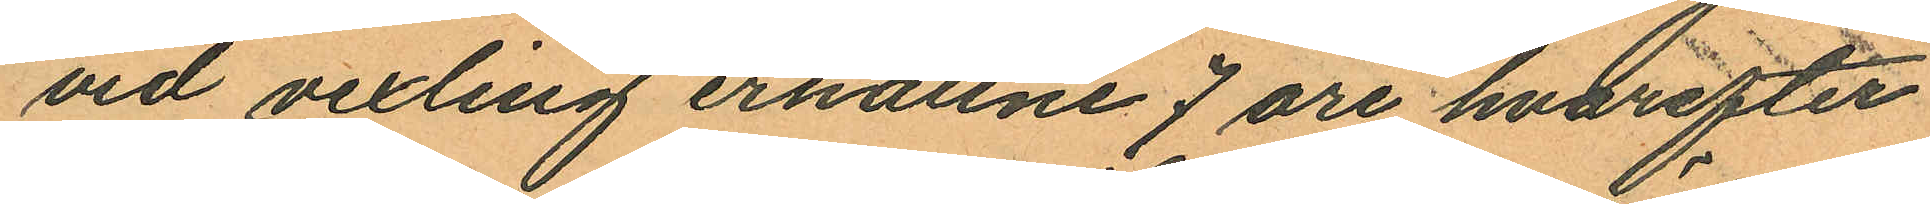vid vexling erhållne 7 öre hvarefter
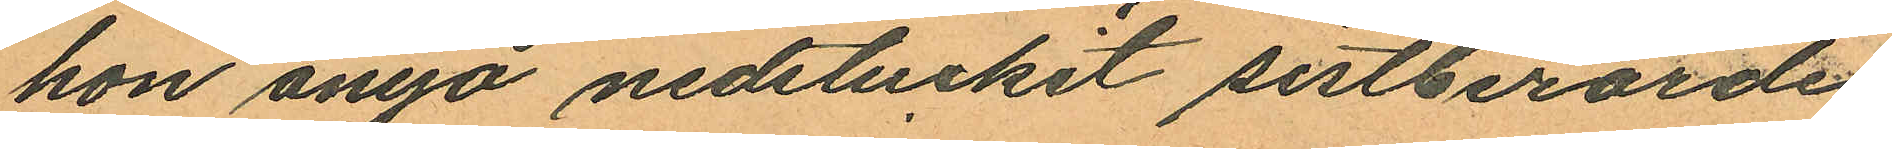hon ånno nedstuckit sistberörde
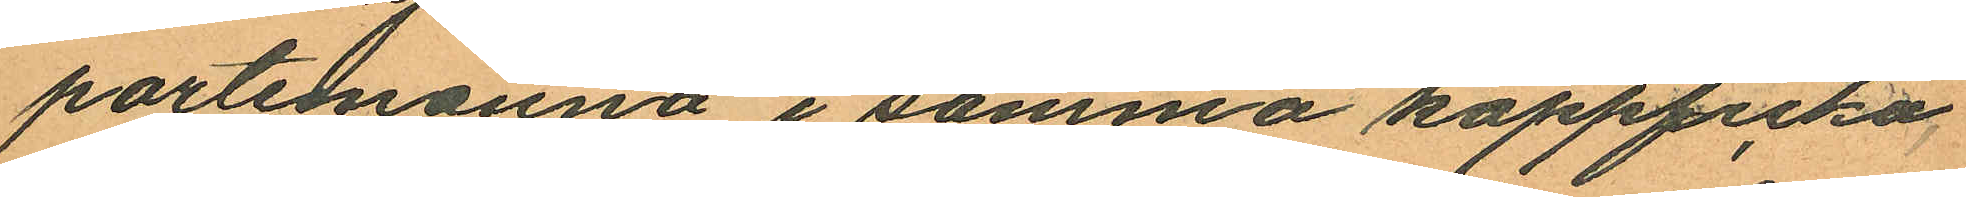portemonnä i samma kappficka
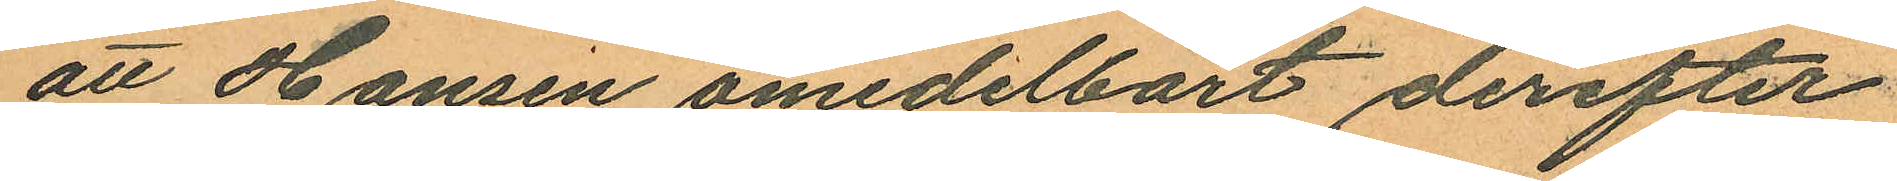att Hansen omedelbart derefter
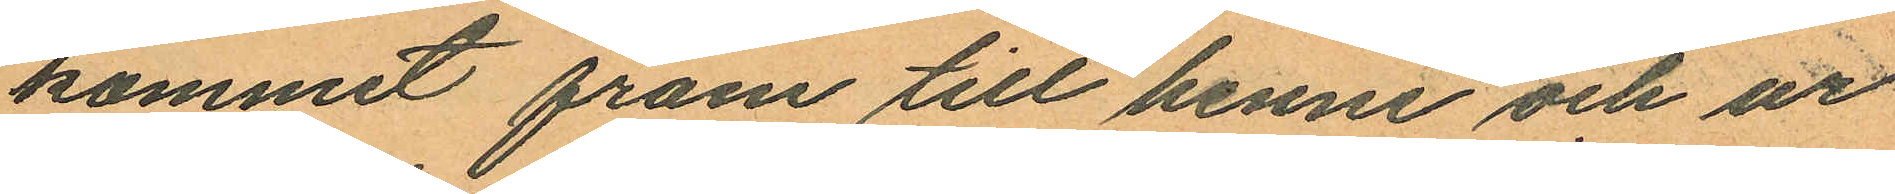kommit fram till henne och ur
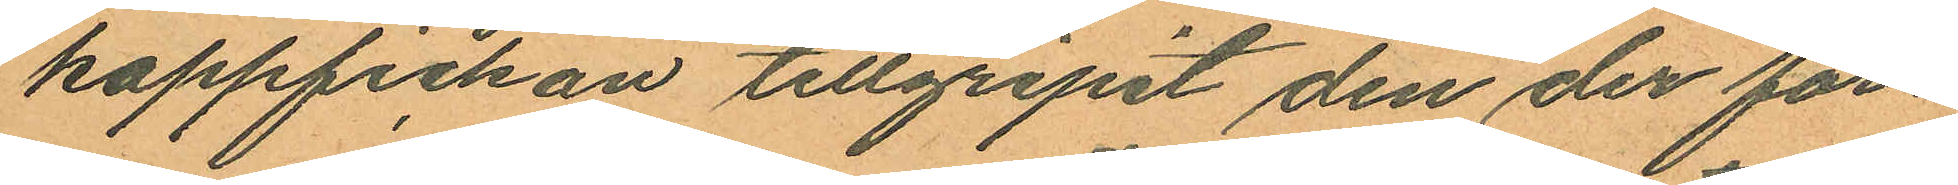kappfickan tillgripit den der för¬
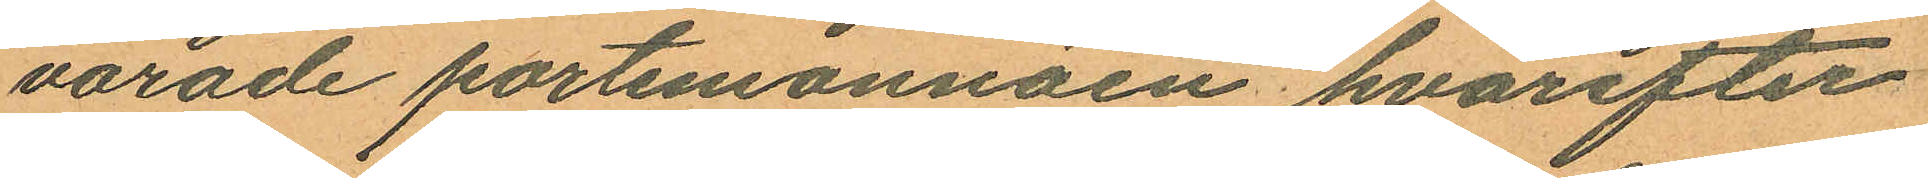varade portemonnäen hvarefter
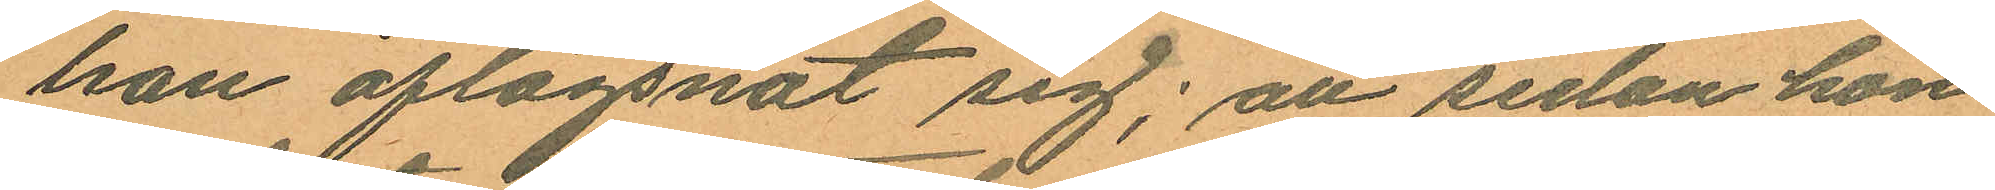han aflägsnat sig; att sedan hon
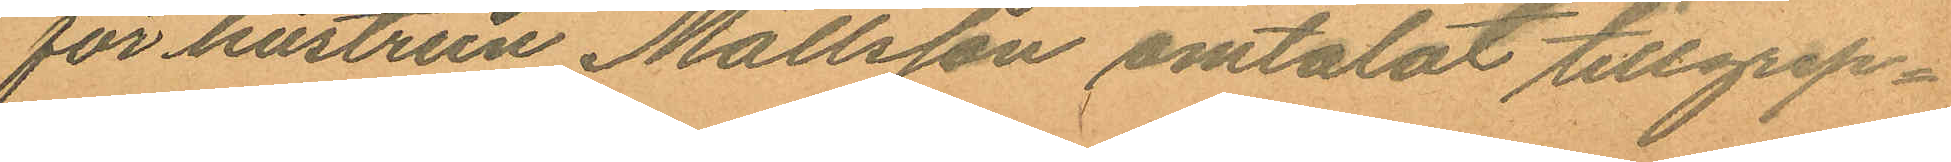för hustrun Mattsson omtalat tillgrep¬
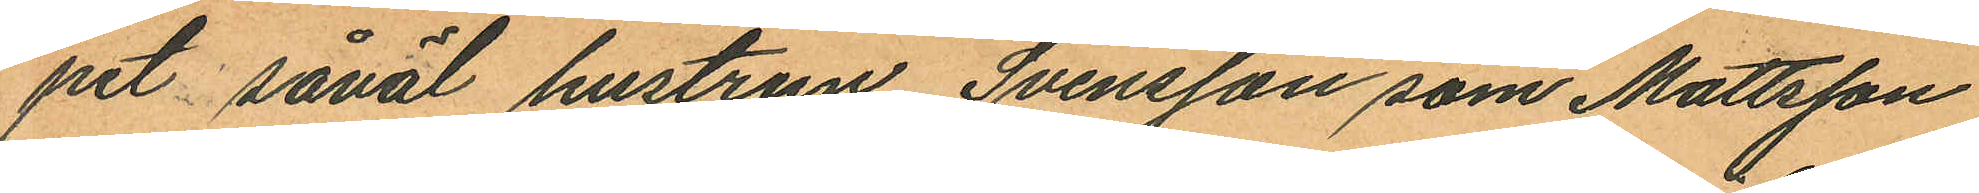pet såväl hustrun Svensson som Mattsson
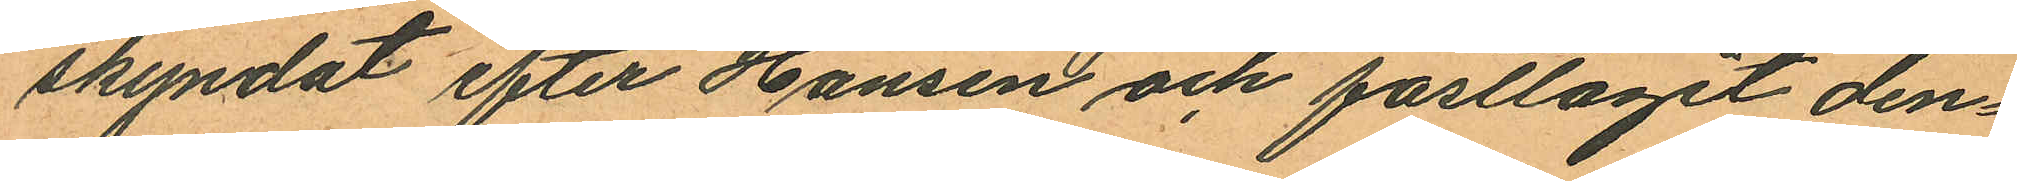skyndat efter Hansen och fasttaget den¬
